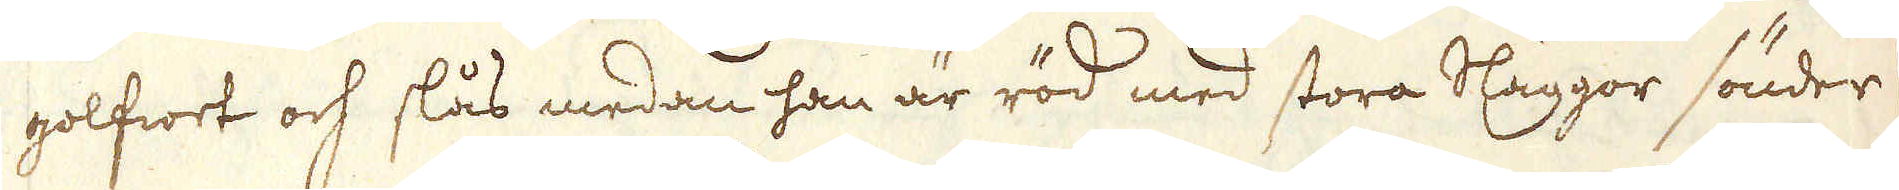golfwet och slås medan han är röd med stora Släggor sönder
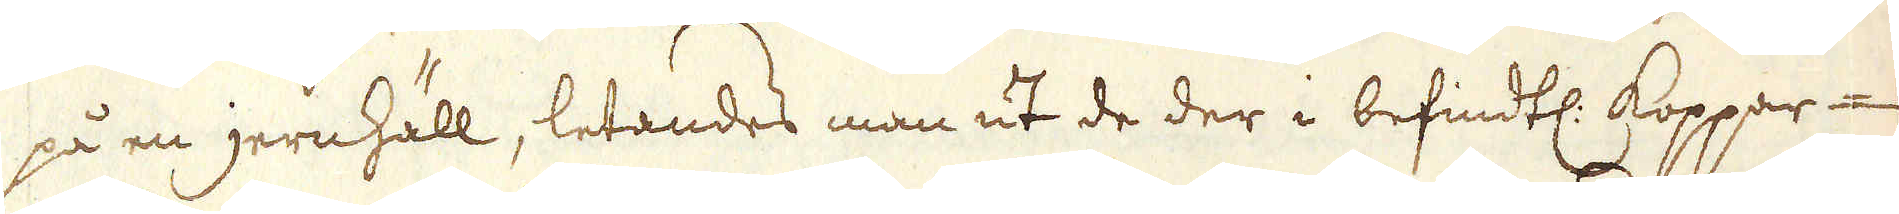på en jernhäll, letandes man ut de der i befindtl: Koppar-
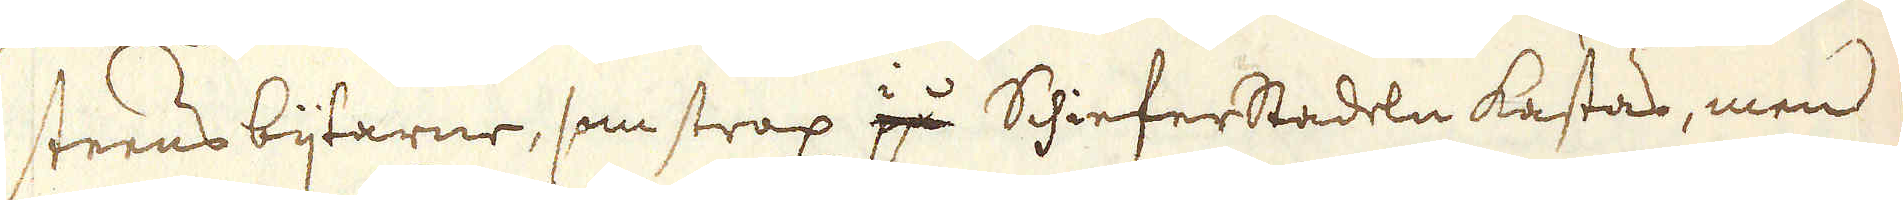steens bijtarne, som strax i på Schieferstadeln kastas, men
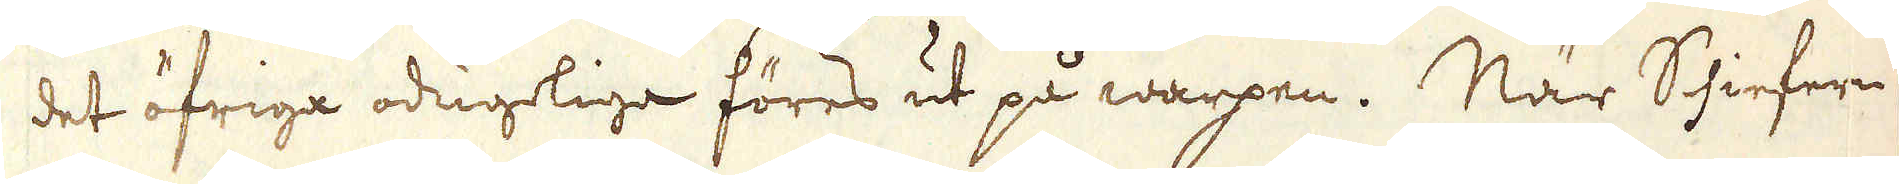det öfriga odugliga föres ut på warpen. När Schiefern
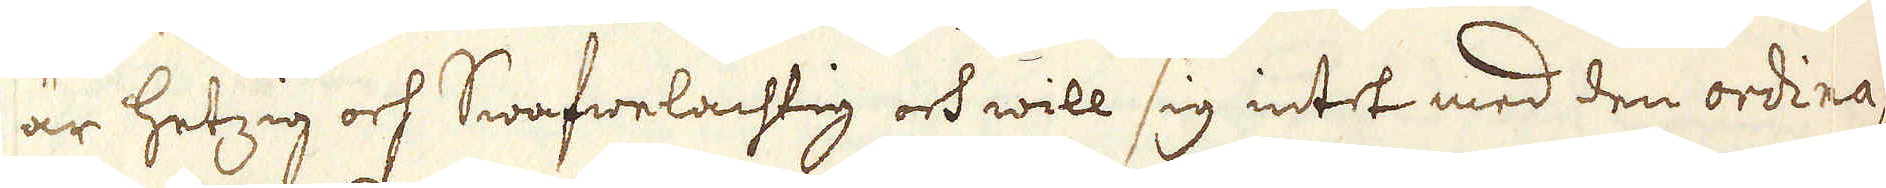är hetzig och Swafwelachtig och will sig intet med den ordina-
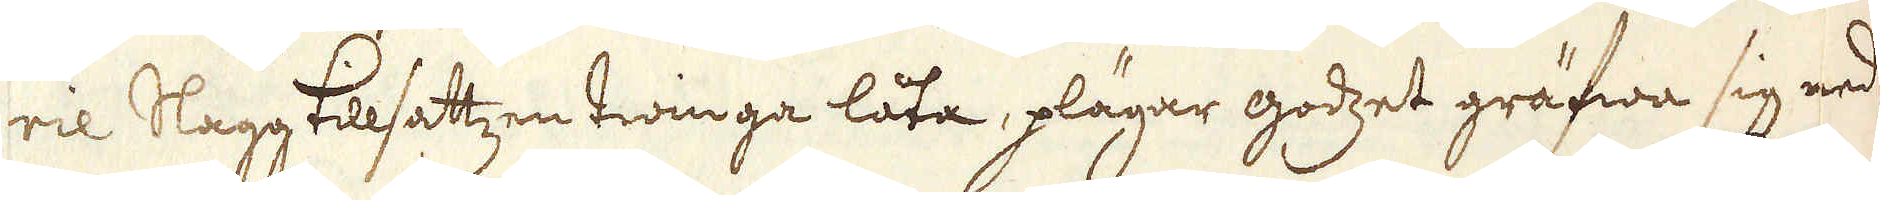rie Slagg tillsattzen twinga låta, plägar godzet gräfwa sig ned
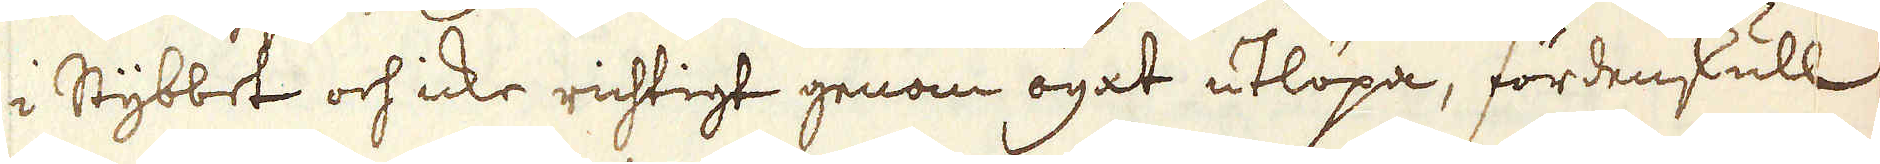i Stybbet och icke richtigt genom ögat utlöpa, fördenskull
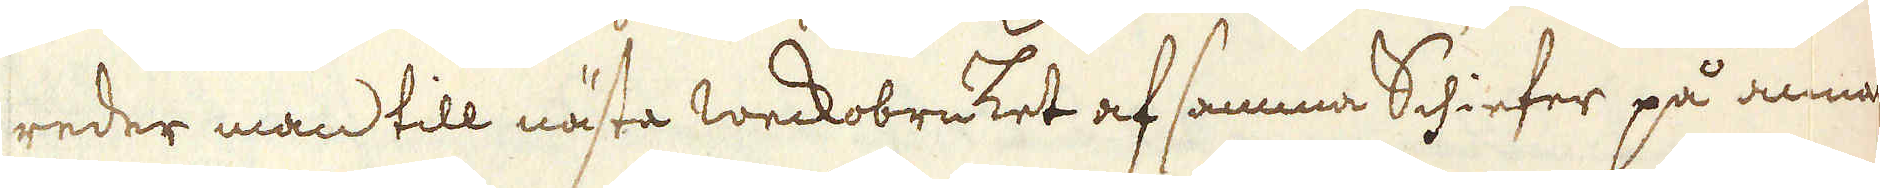reder man till nästa weckobruket af samma Schiefer på annat
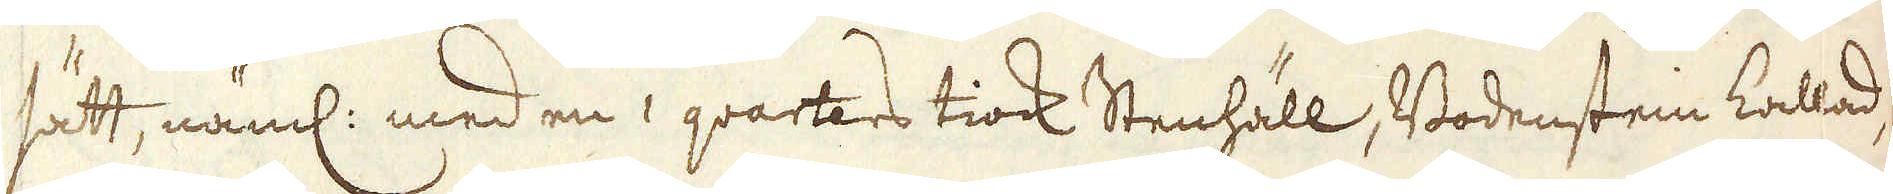sätt, näml: med en 1 qvarters tiock Stenhäll, Bodenstein kallad,
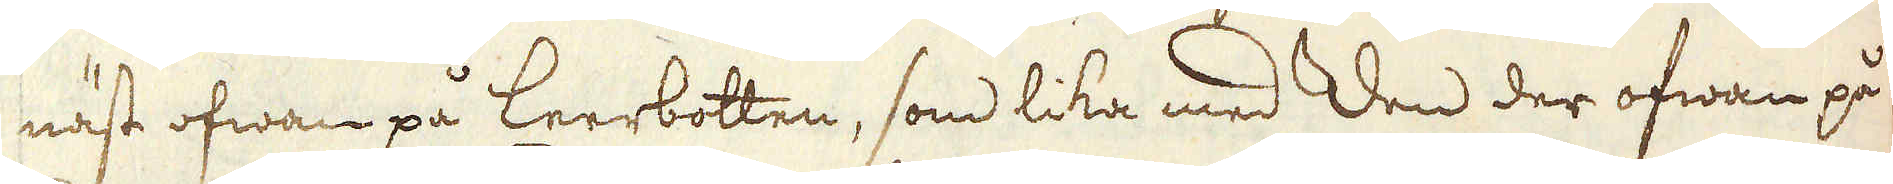näst ofwan på Leerbotten, som lika med den der ofwan på
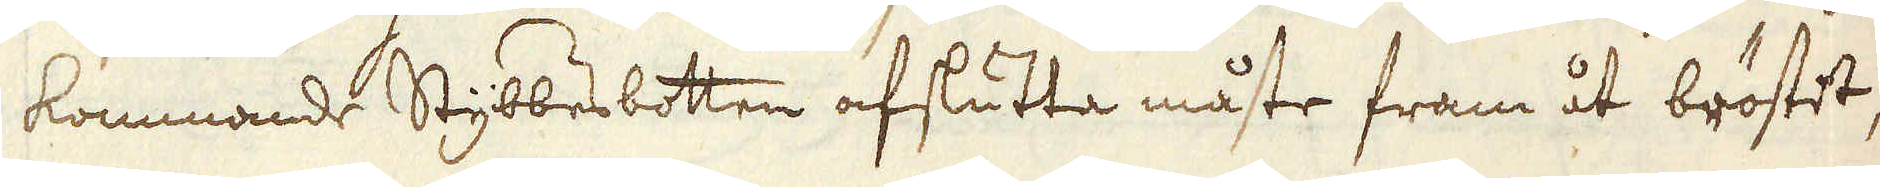kommande Stybbesbotten afslutta måste fram åt bröstet,
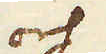och
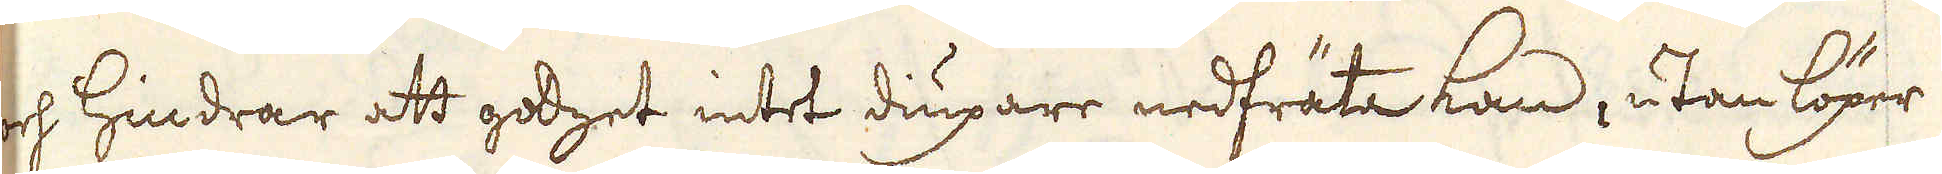och Hindrar att godzet intet diupare nedfräta kan, utan löper
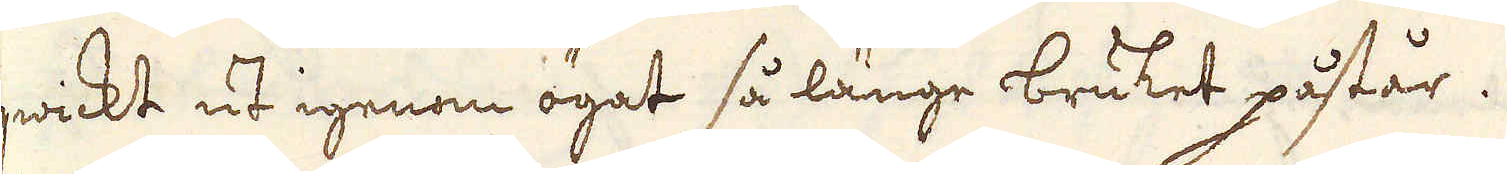qwickt ut igenom ögat så länge bruket påstår.
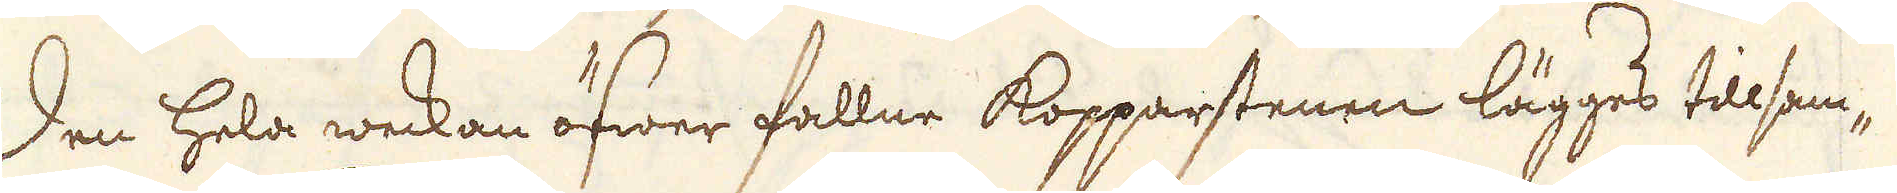Den hela weckan öfwer fallne Kopparstenen lägges tilsam-
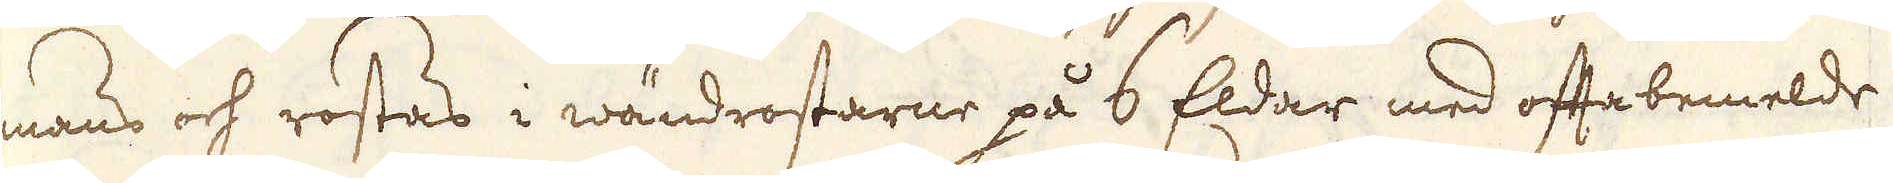mans och rostas i wändrostarne på 6 Eldar med oftabemelde
